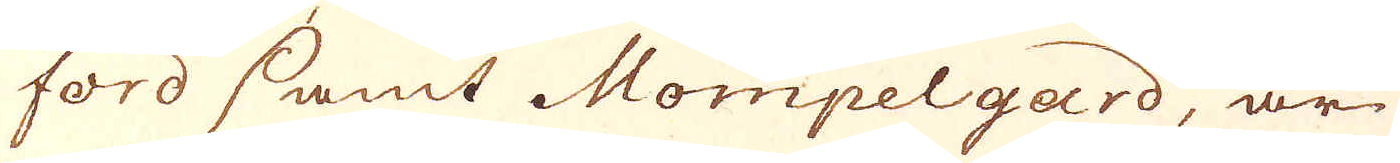ford samt Mompelgard, är
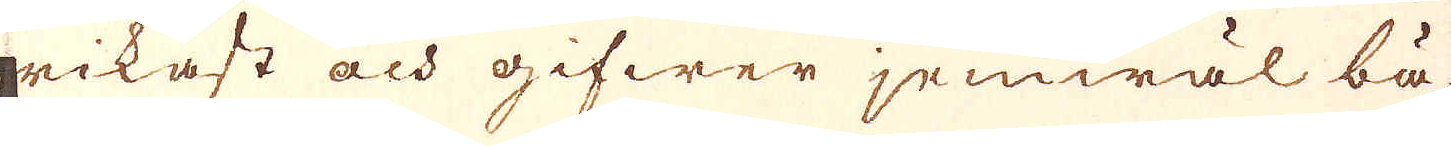rikast och gifwer jemwäl bä-
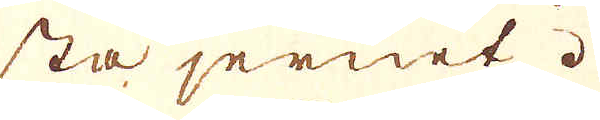sta jernet.
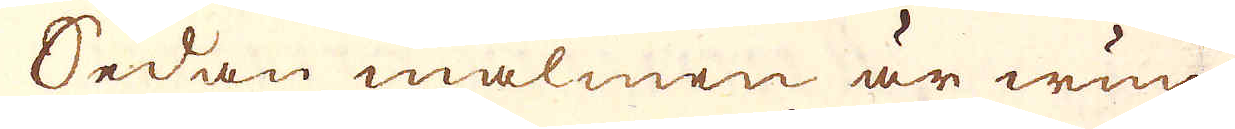Sedan malmen är wun-
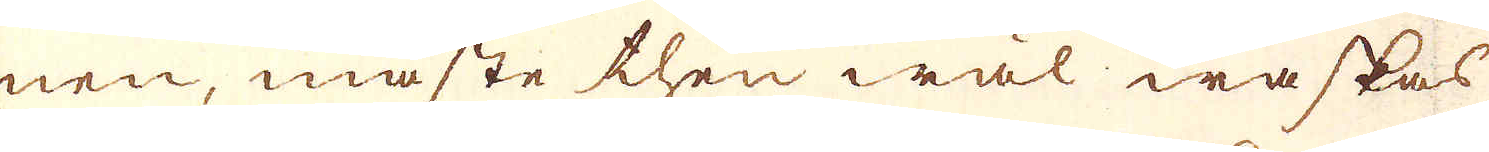nen, måste then wäl waskas
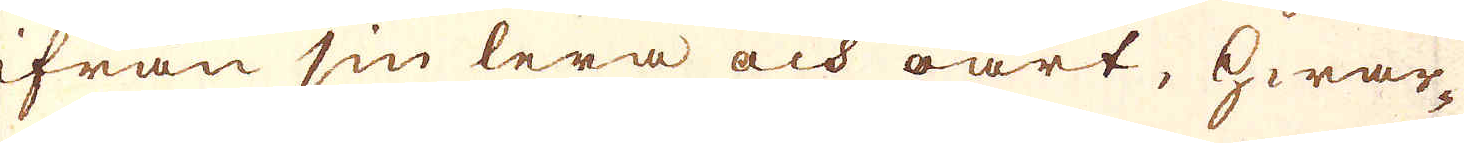ifrån sin lera och oart, hwar-
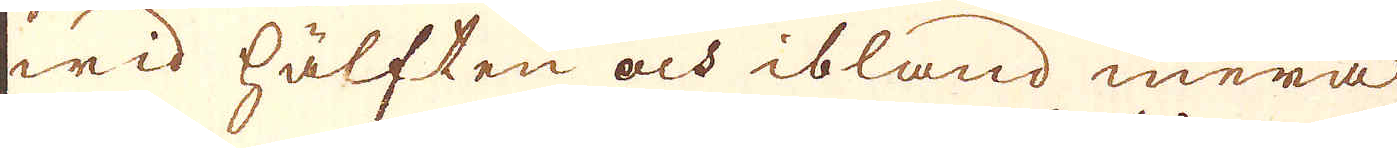wid hälften och ibland mera
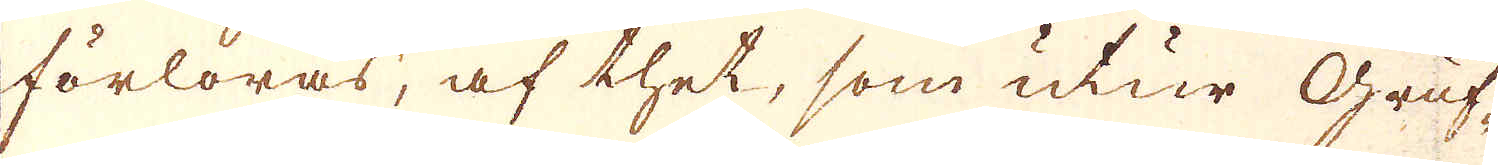förloras, af thet, som utur Gruf-
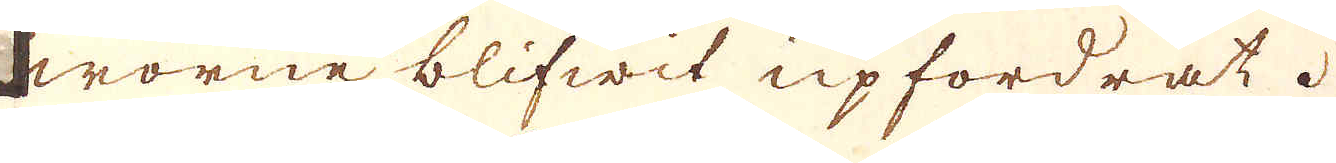worne blifwit upfordrat.
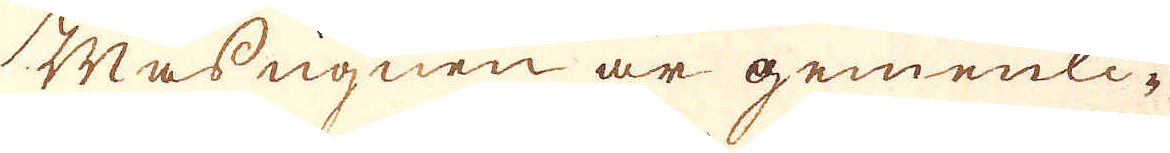Masnugnen är gemenli-
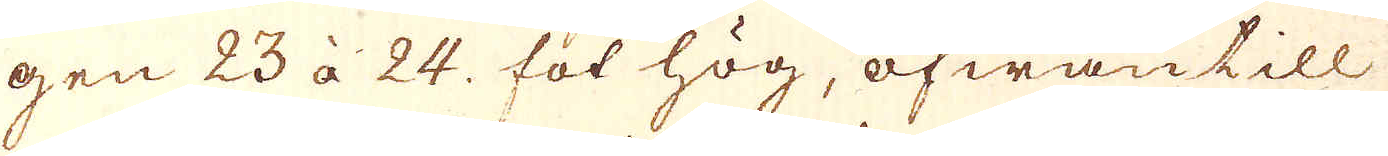gen 23 à 24. fot hög, ofwantill
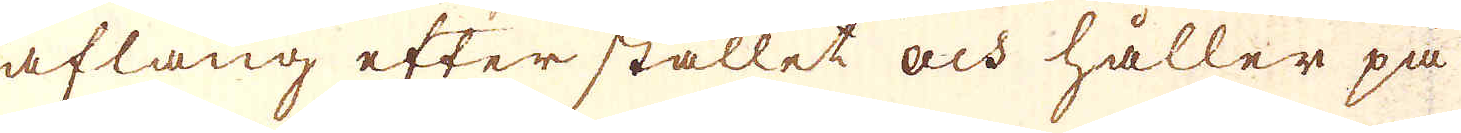aflång efter stället och håller på
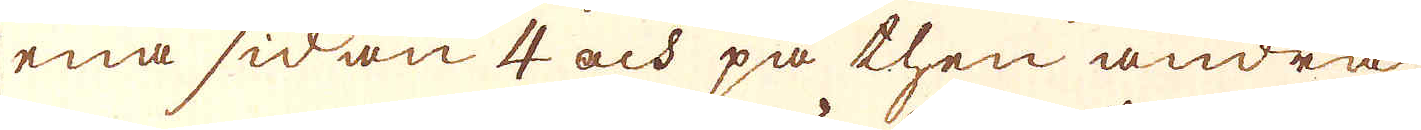ena sidan 4 och på then andra
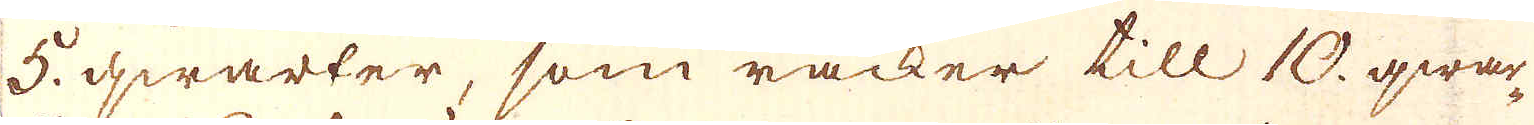5. qwarter, som räcker till 10. qwar-
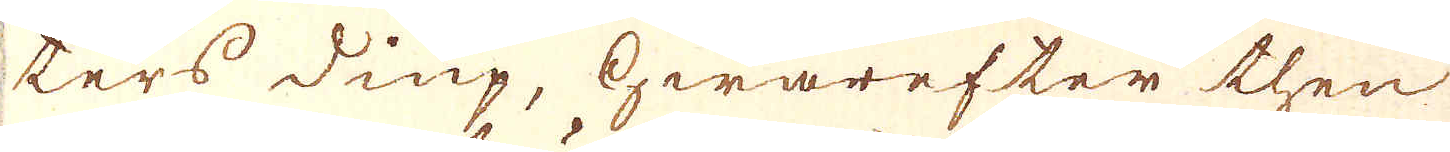ters diup, hwarefter then
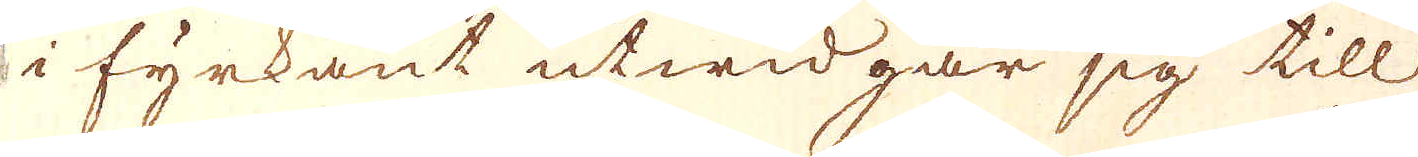i fyrkant utwidgar sig till
